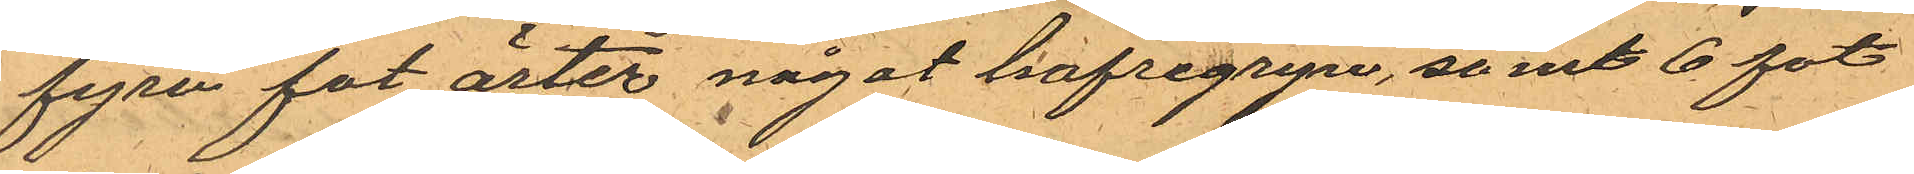fyra fot ärter något hafregryn, samt 6 fot
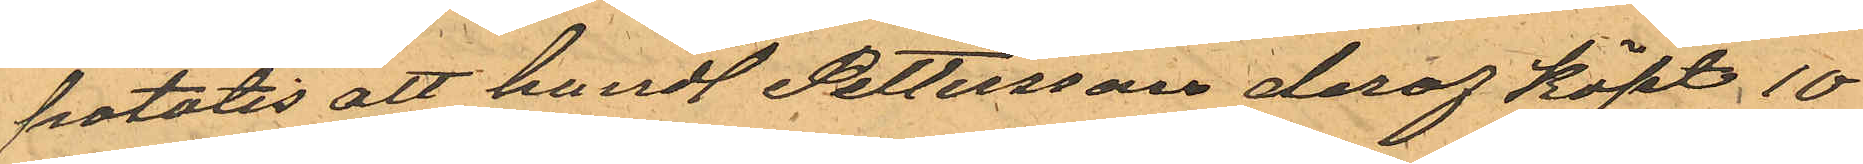potatis att handl. Pettersson deraf köpt 10
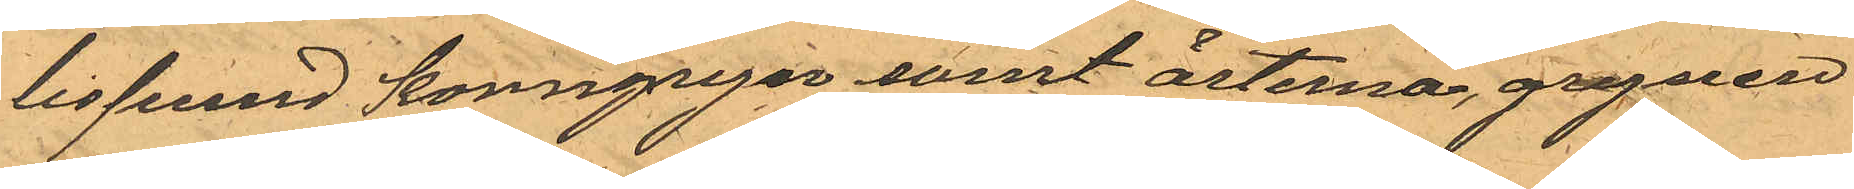lispund korngryn samt ärterna, grynen
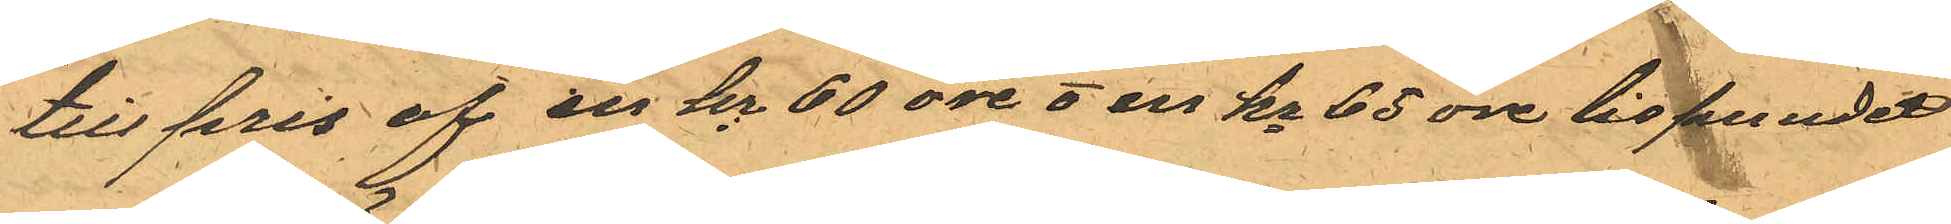till pris af en kr 60 öre & en kr 65 öre lispundet
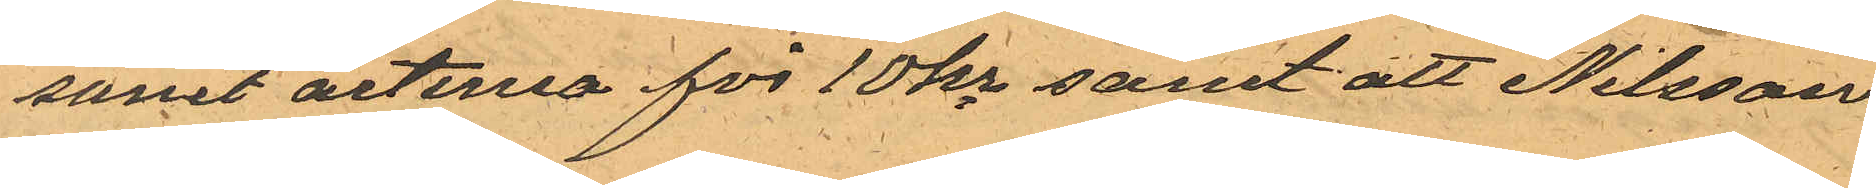samt ärterna för 10 kr samt att Nilsson
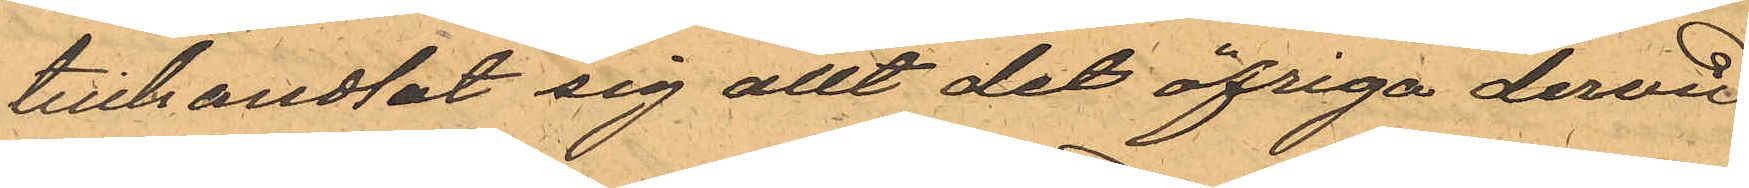tillhandlat sig allt det öfriga dervid
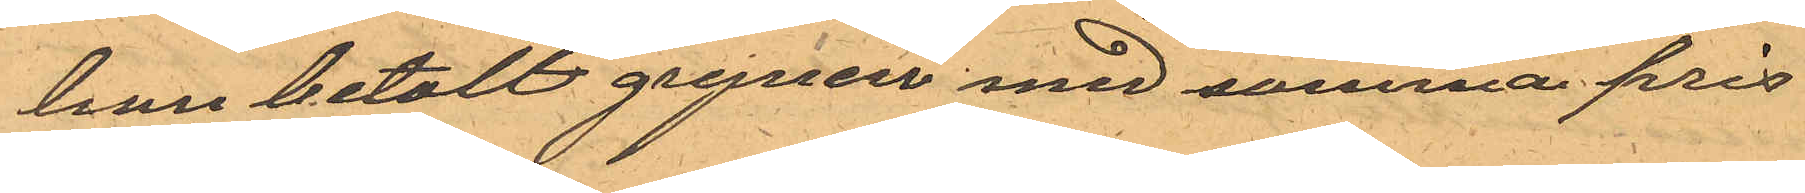han betalt grynen med samma pris
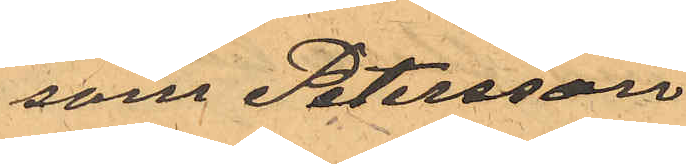som Petersson.
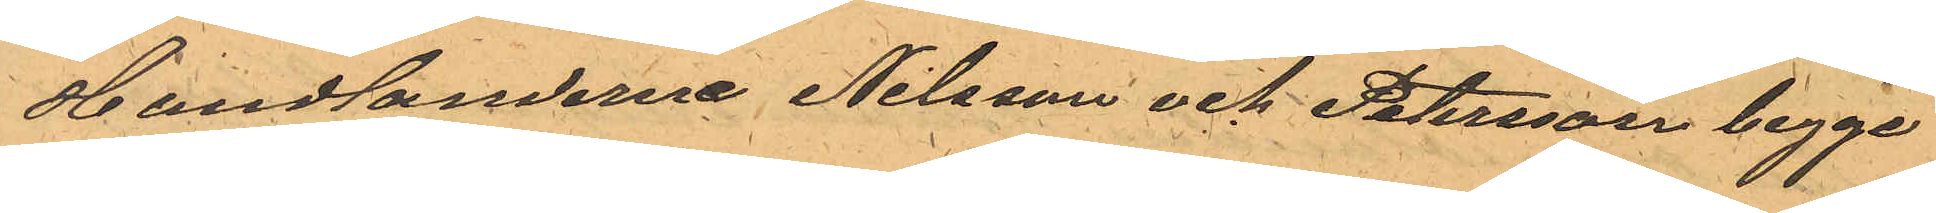Handlanderne Nilsson och Petersson begge
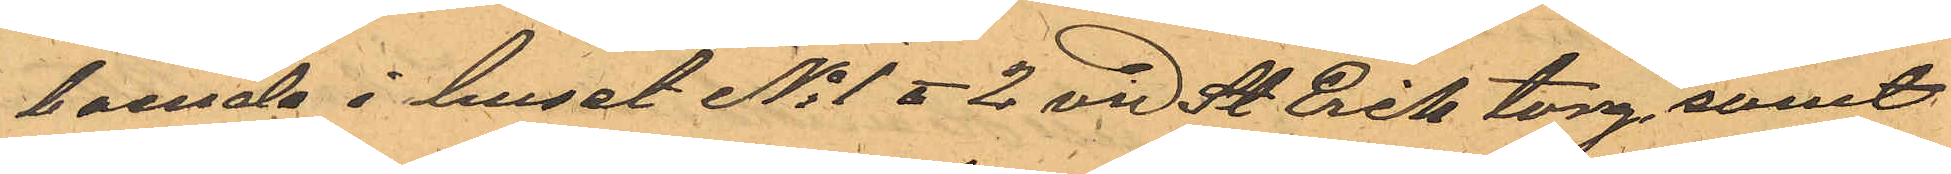boende i huset No 1 o 2 vid St Erik torg samt
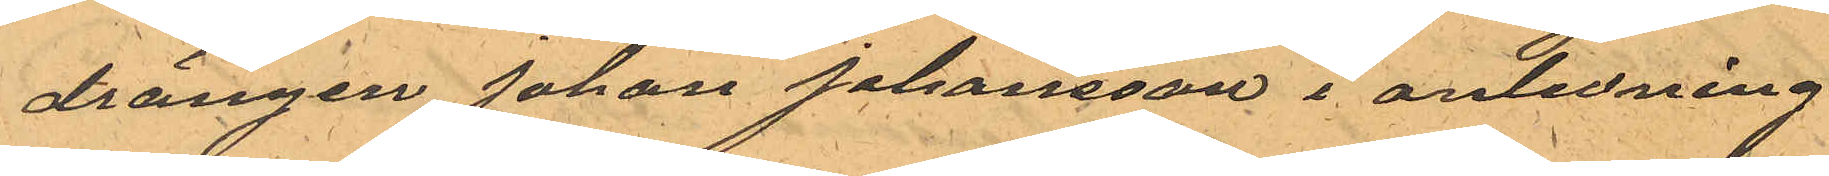drängen Johan Johansson i anledning
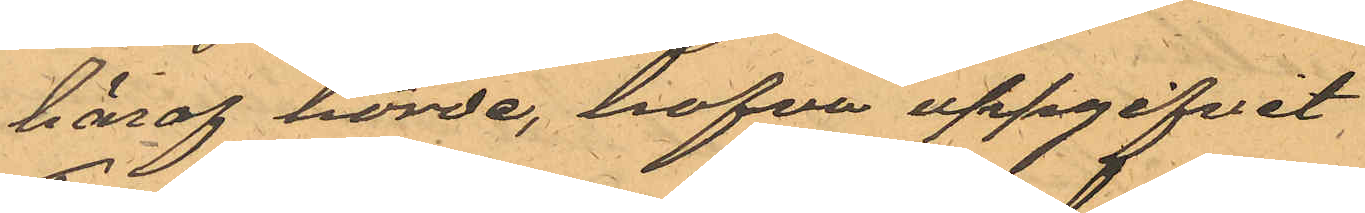häraf hörde, hafva uppgifvet:
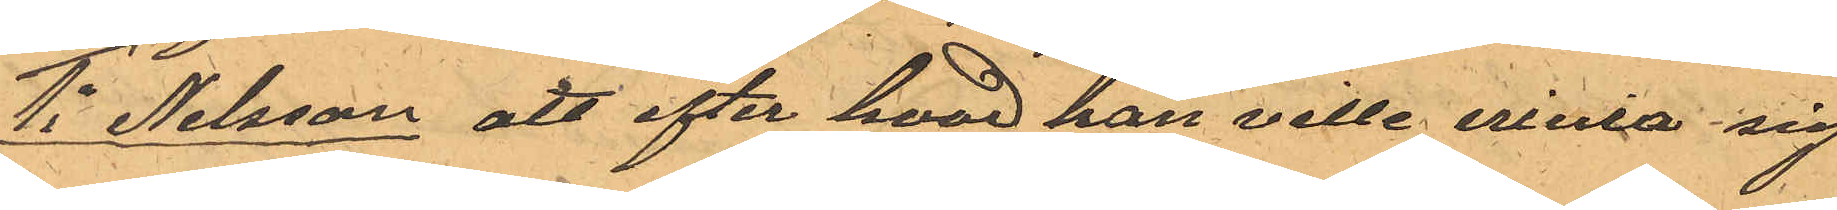1o Nilsson att efter hvad han ville erinra sig
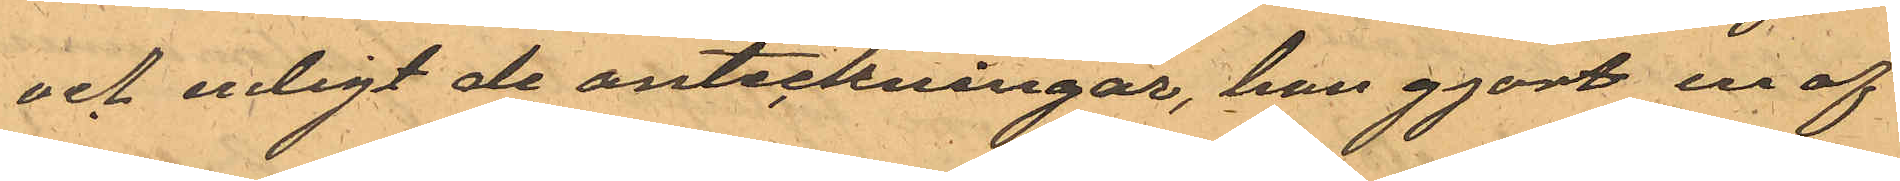och enligt de anteckningar, han gjort en af
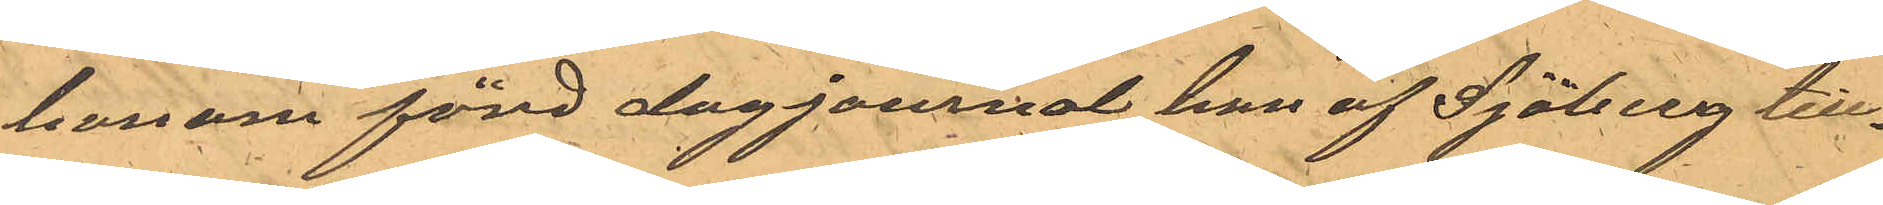honom förd dagjournal han af Sjöberg till¬
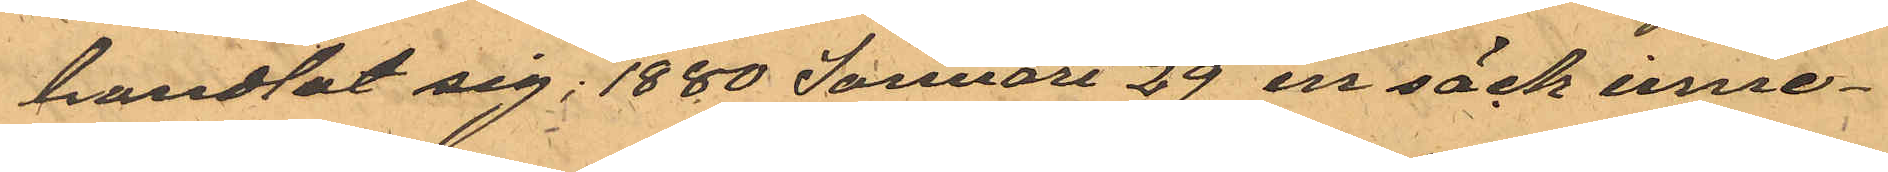handlat sig; 1880 Januari 29 en säck inne¬
